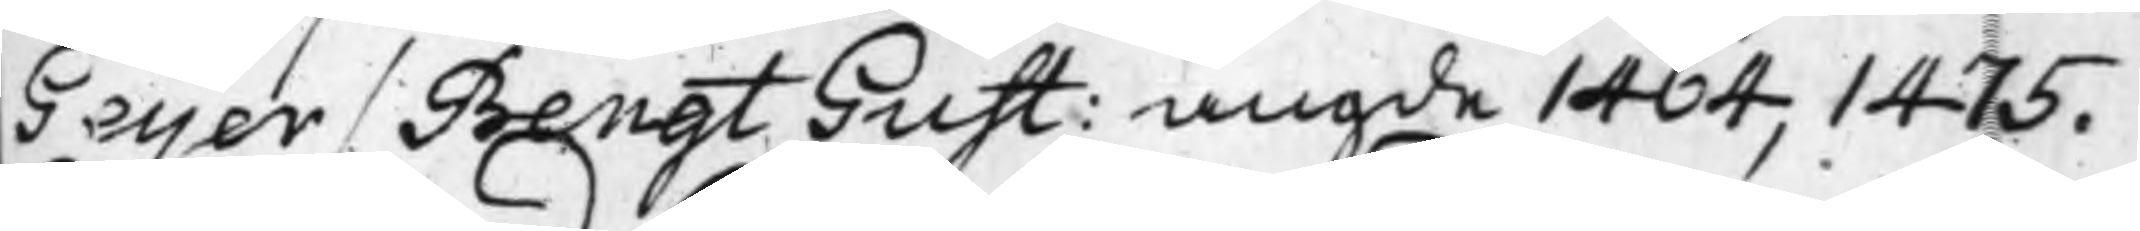Geijer / Bengt Gust: angde 1464, 1475.
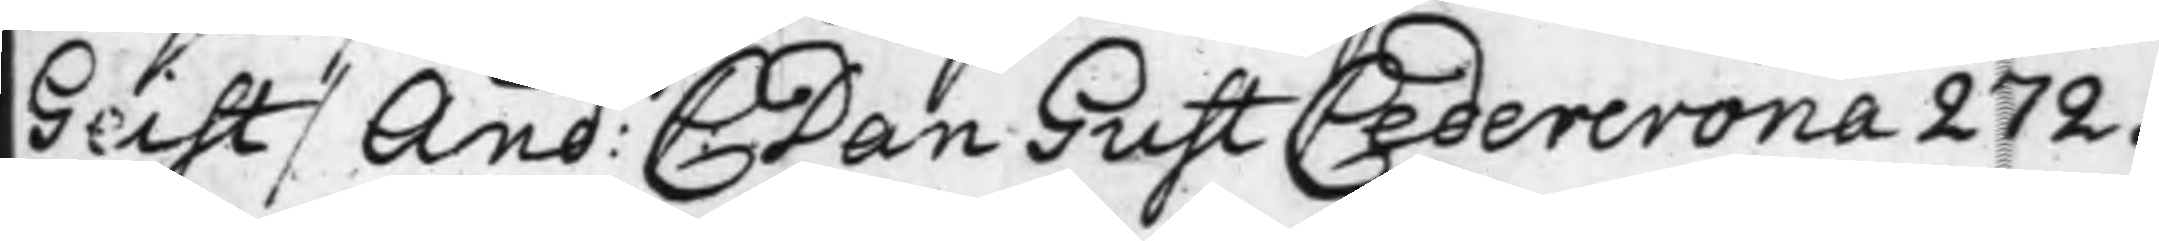Geist / And: C: Dan Gust Cedercrona 272.
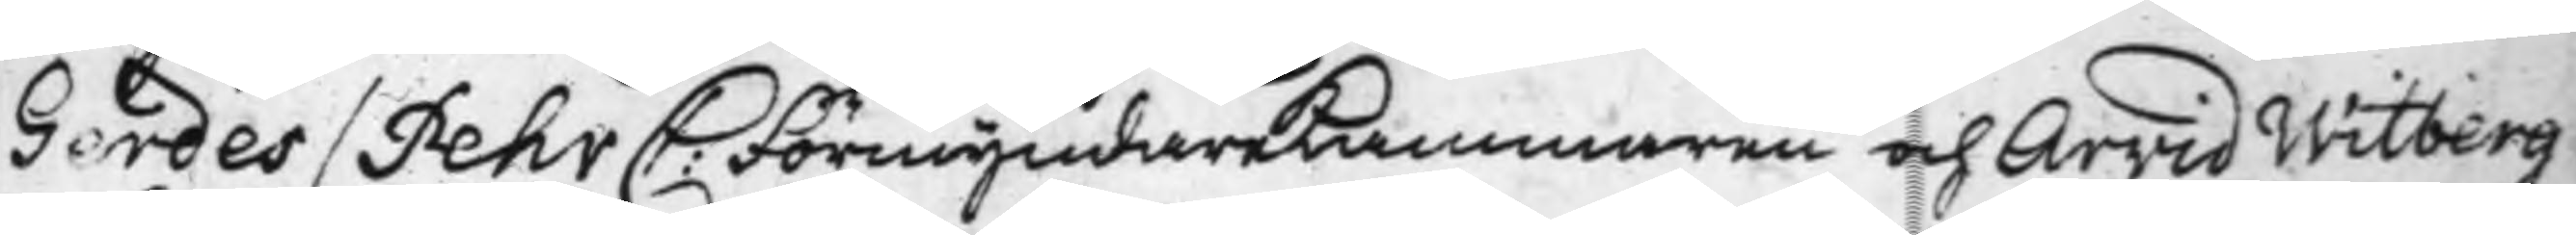Gerdes / Pehr C: FörmyndareKammaren och Arvid Witberg
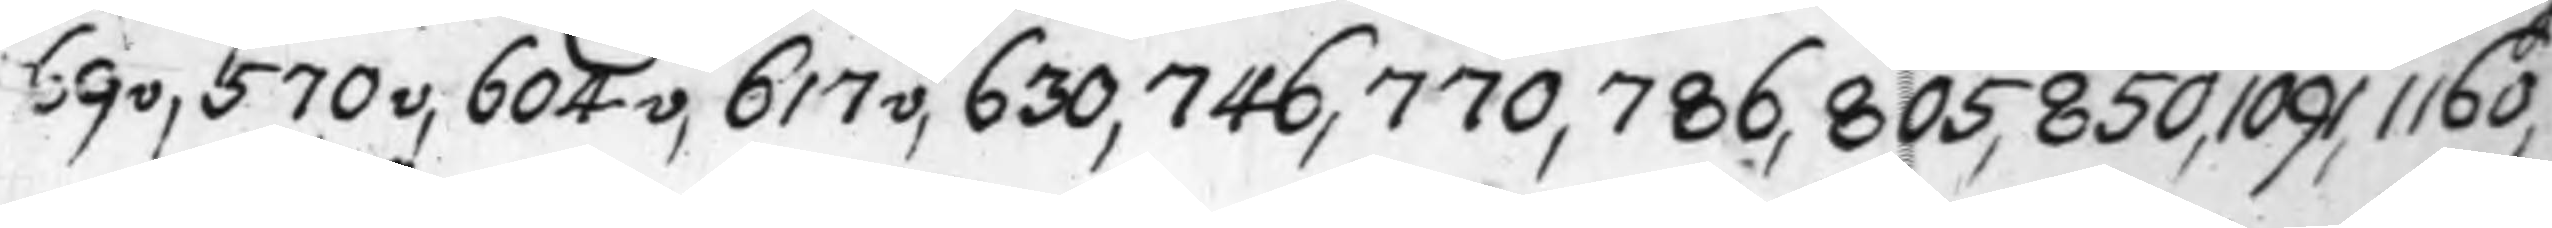69v, 70v, 604v, 617v, 630, 746, 770, 786, 805, 850, 1091, 1160,
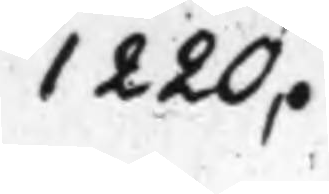1220.
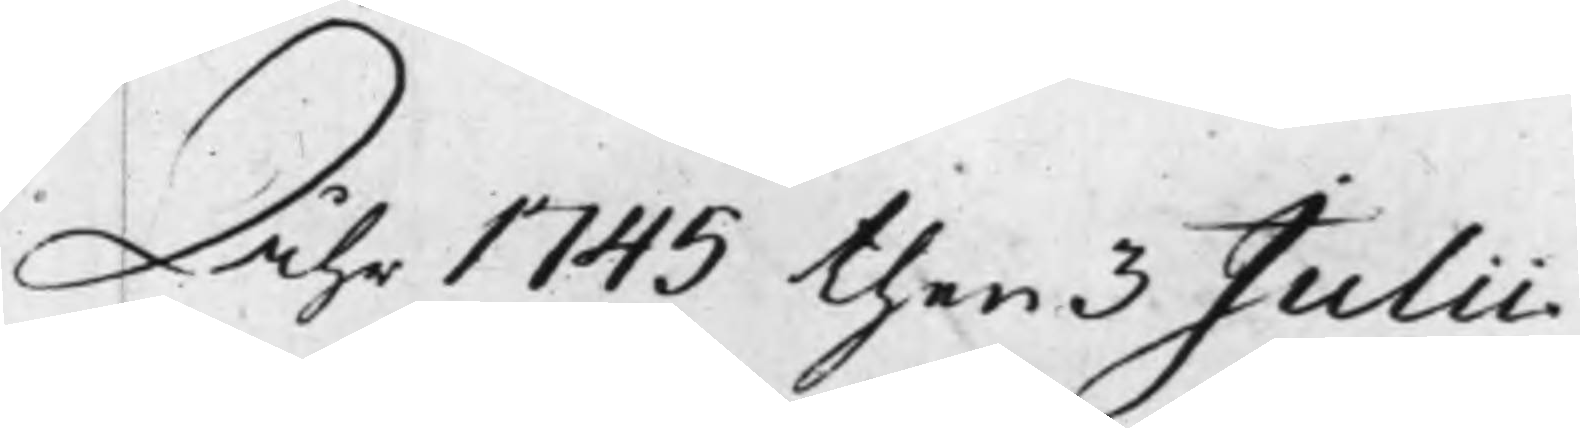Åhr 1745 then 3 Julii
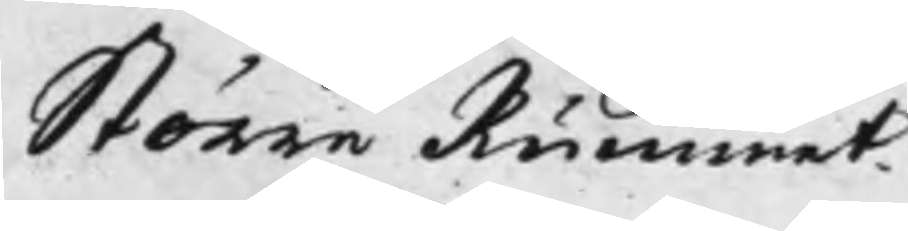Större Rummet
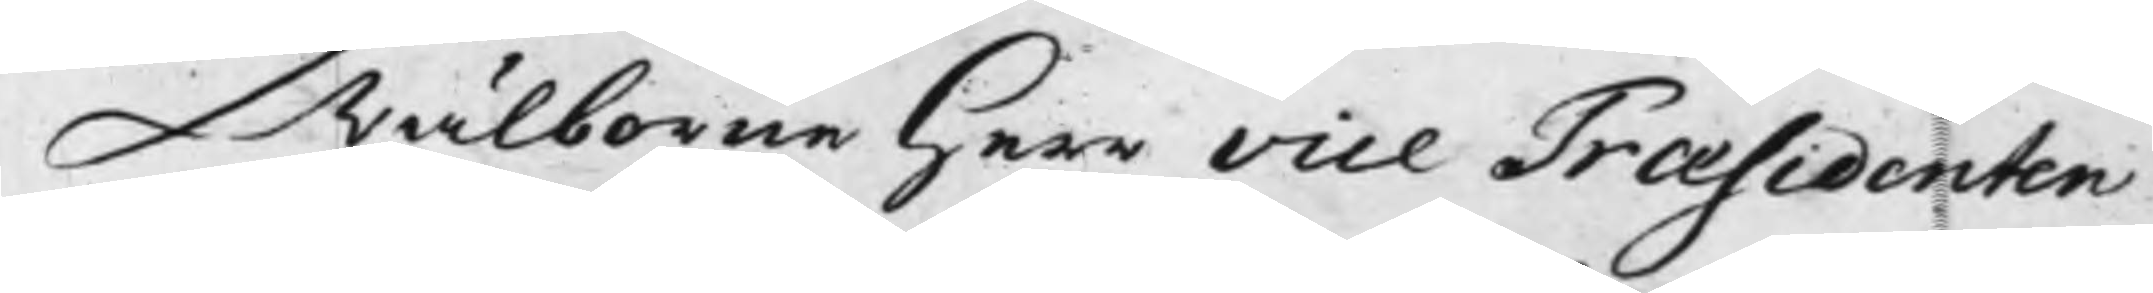Wälborne Herr vice præsidenten
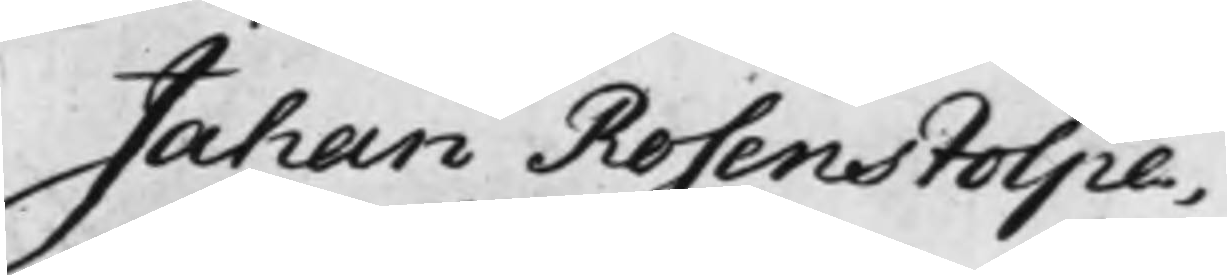Jahan Rosenstolpe,
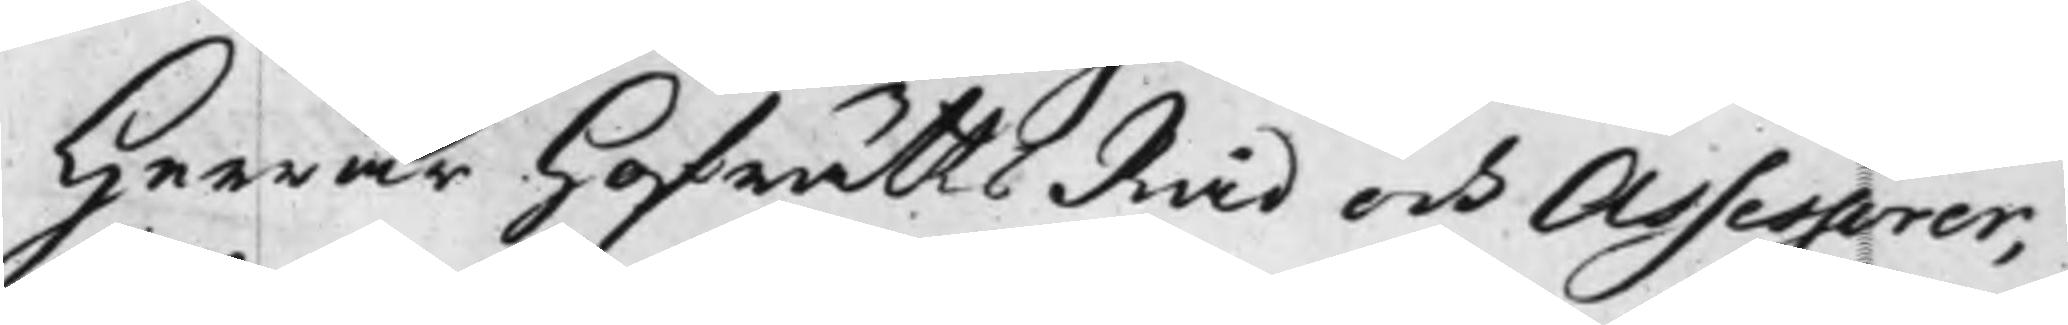Herrar HofrättsRåd och Assessorer,
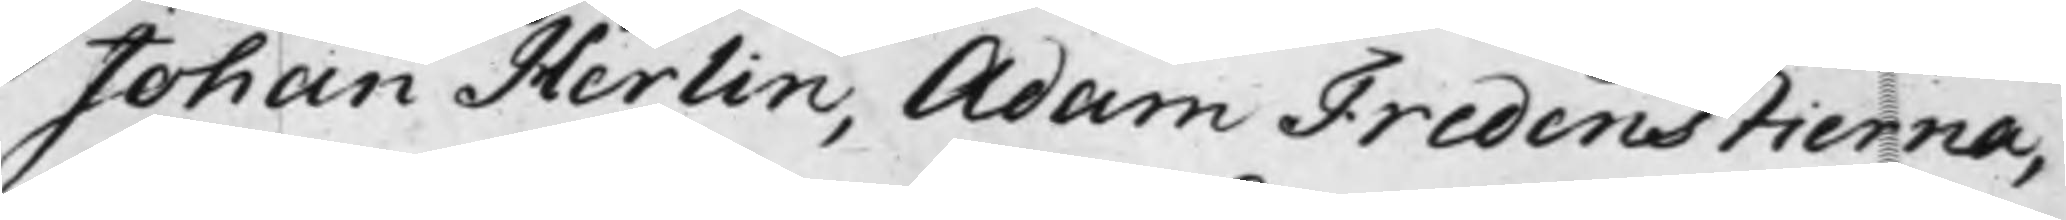Johan Herlin, Adam Fredenstierna,
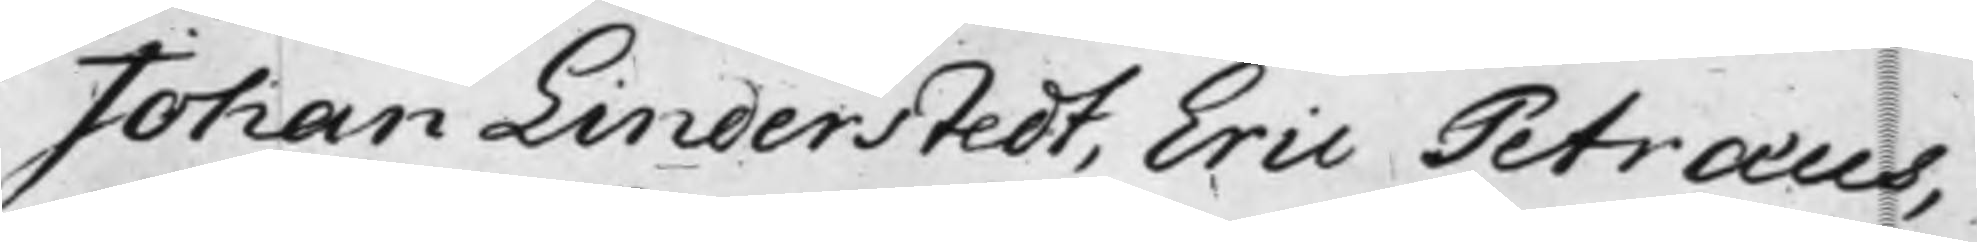Johan Linderstedt, Eric Petræus,
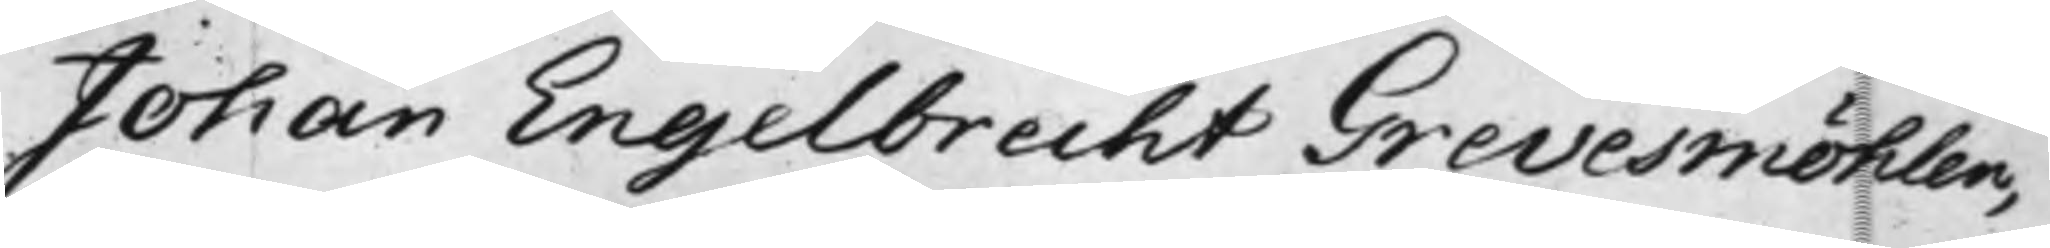Johan Engelbrecht Grevesmöhlen,
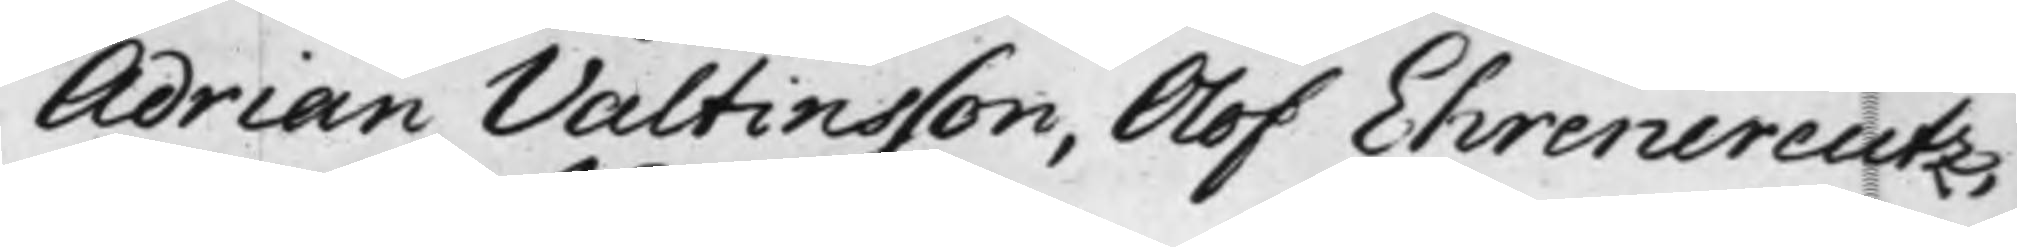Adrian Valtinsson, Olof Ehrencreutz,
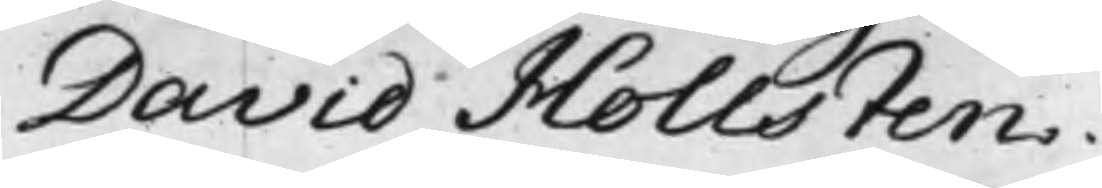David Hollsten.
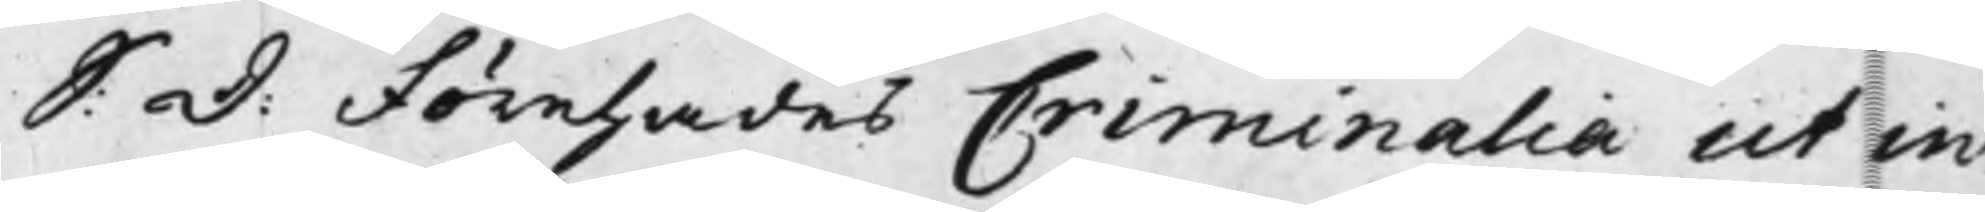S: D: Förehades Criminalia ut in
